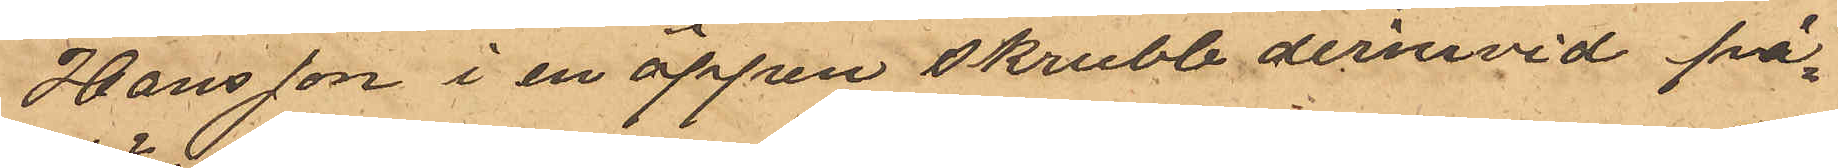Hansson i en öppen skrubb derinvid på¬
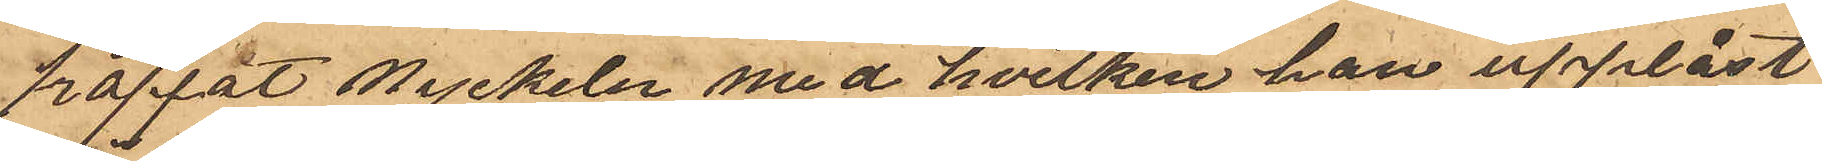träffat nyckeln med hvilken han upplåst
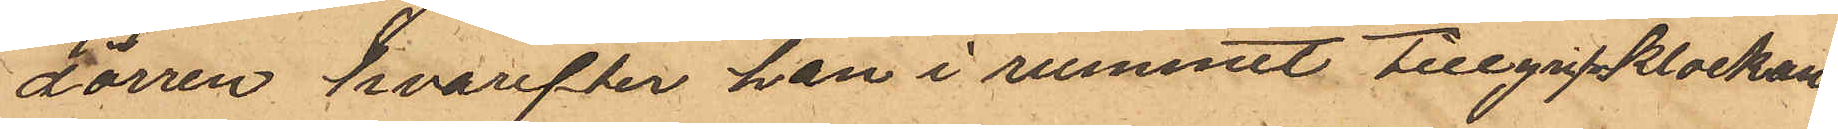dörren hvarefter han i rummet  tillgrip klockan
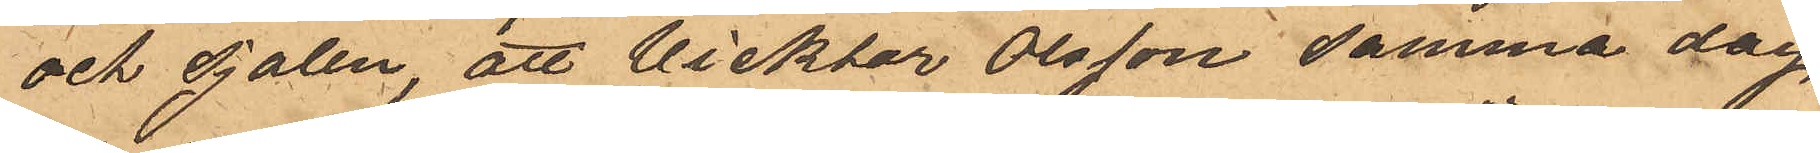och Sjalen, att Vicktor Olsson samma dag
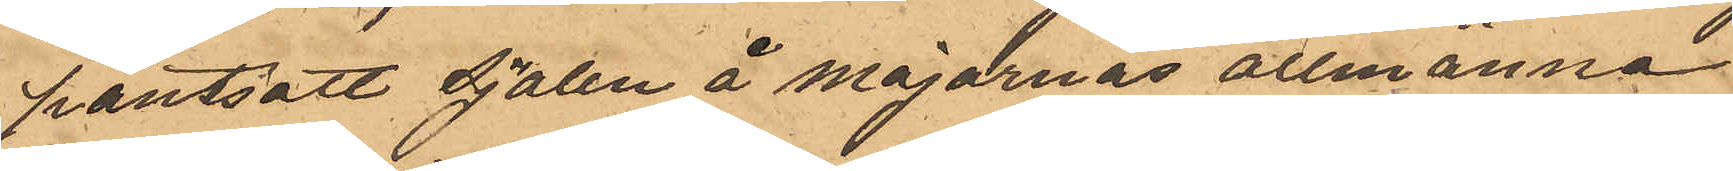pantsatt sjalen å Majornas allmänna
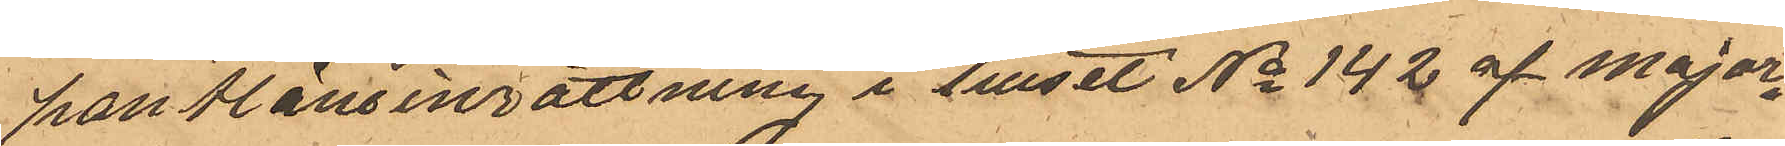pantlåneinrättning i huset No 142 af Major¬
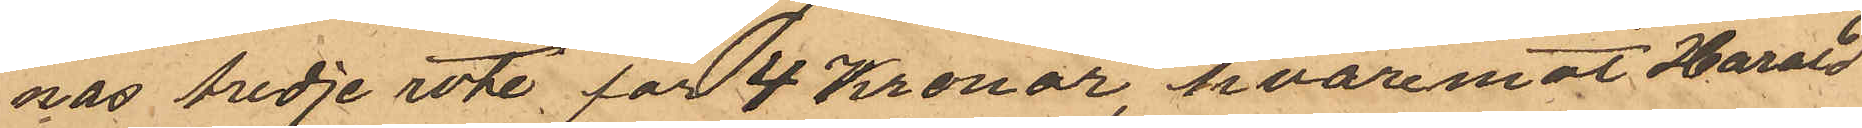nas tredje rote för 4 Kronor, hvaremot Harald
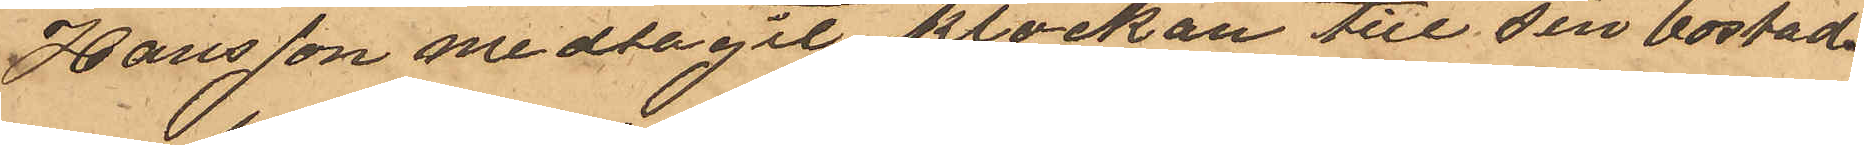Hansson medtagit klockan till sin bostad
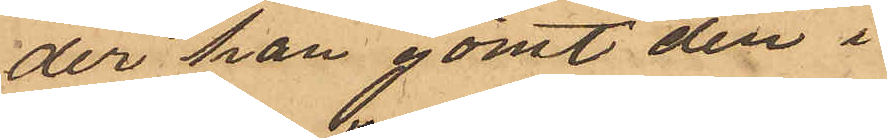der han gömt den i
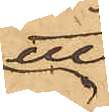ett
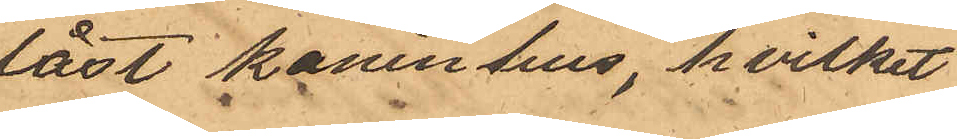låst kaninhus, hvilket
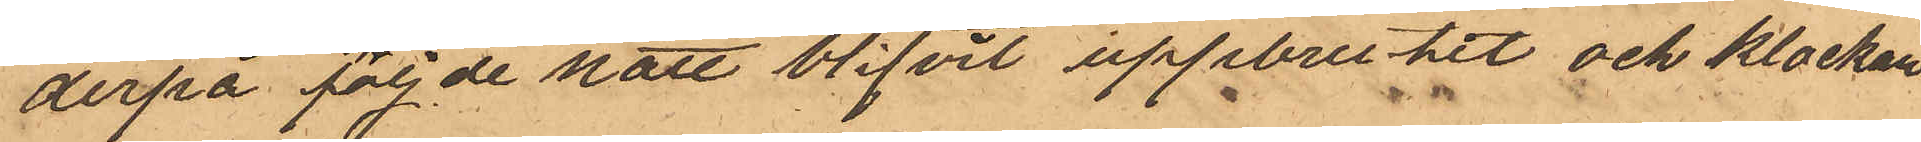derpå följde natt blifvit uppbrutit och klockan
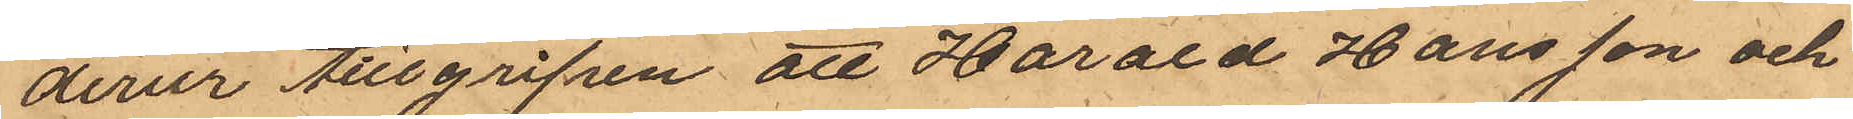derur tillgripen att Harald Hansson och
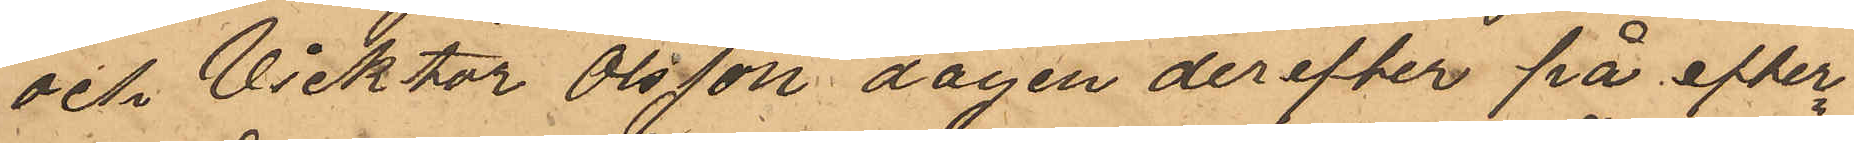och Vicktor Olsson dagen derefter på efter¬
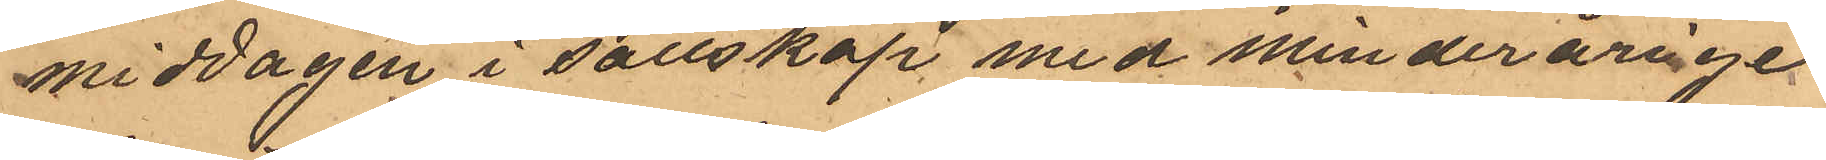middagen i sällskap med minderårige
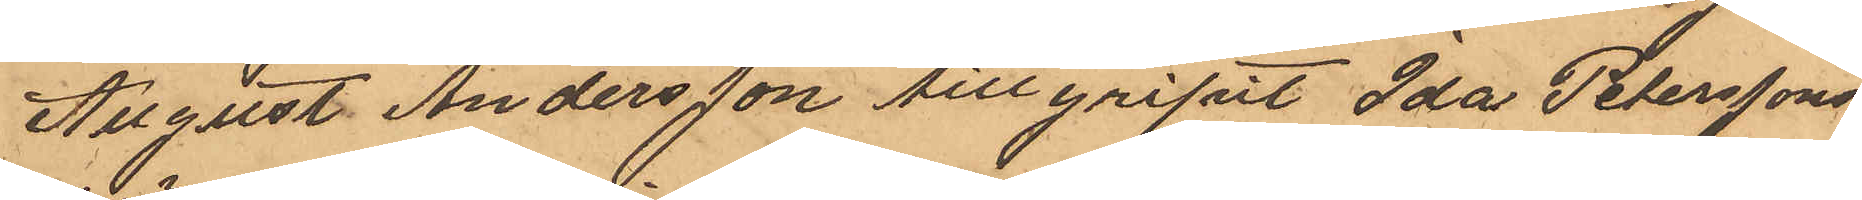August Andersson tillgripit Ida Peterssons
